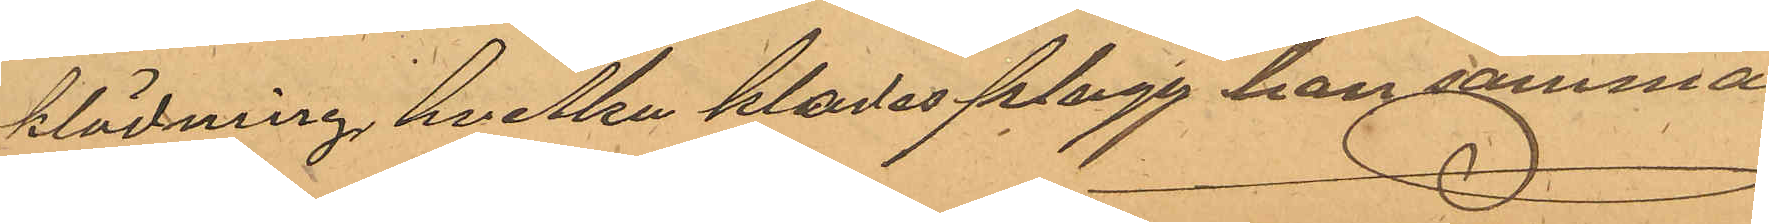klädning, hvilka kladesplagg han samma
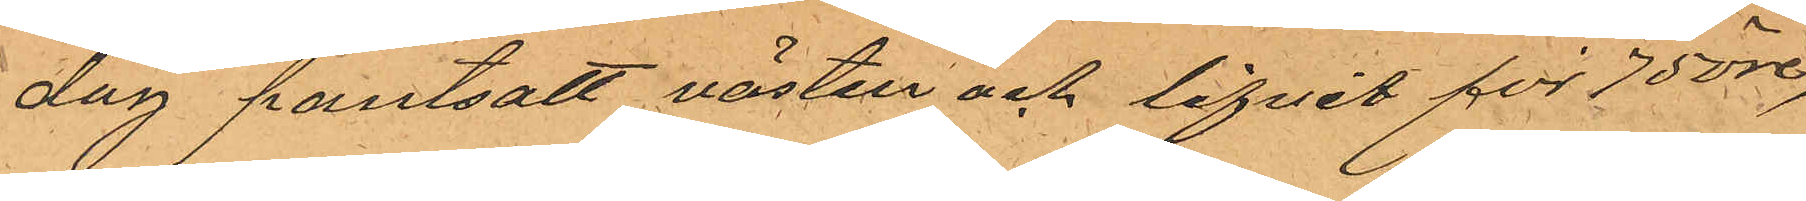dag pantsatt västen och lifvet för 75 öre,
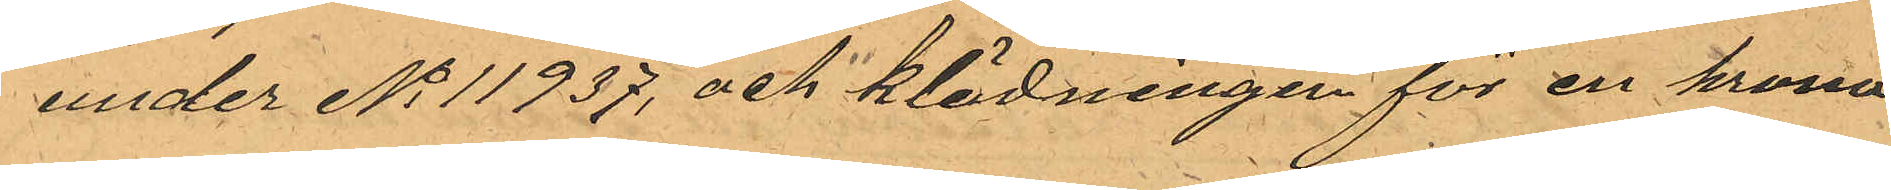under No 11937, och klädningen för en krona
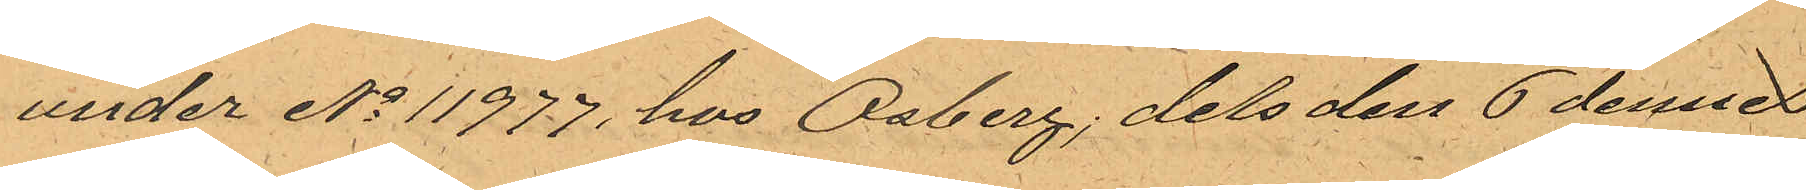under No 11977 hos Osberg, dels den 6 dennes
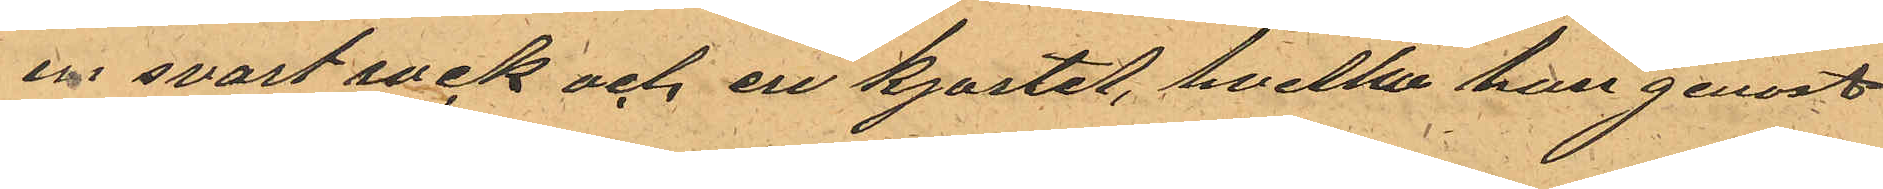en svart rock och en kjortel, hvilka han genast
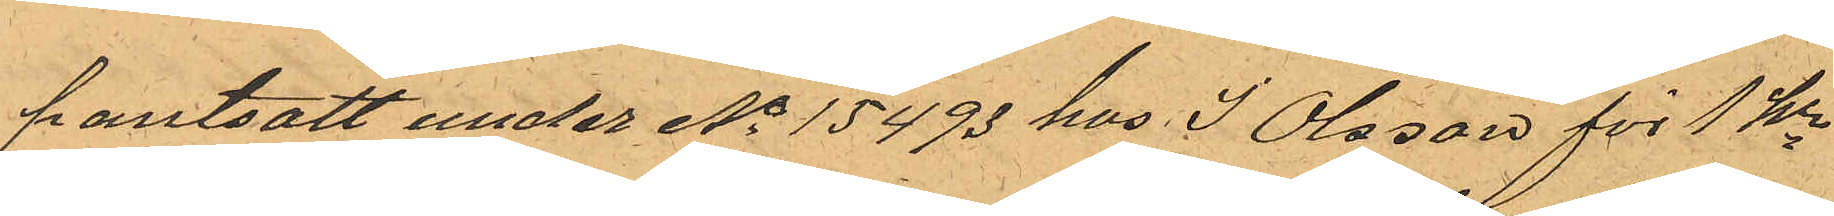pantsatt under No 15493 hos J Olsson för 1 kr
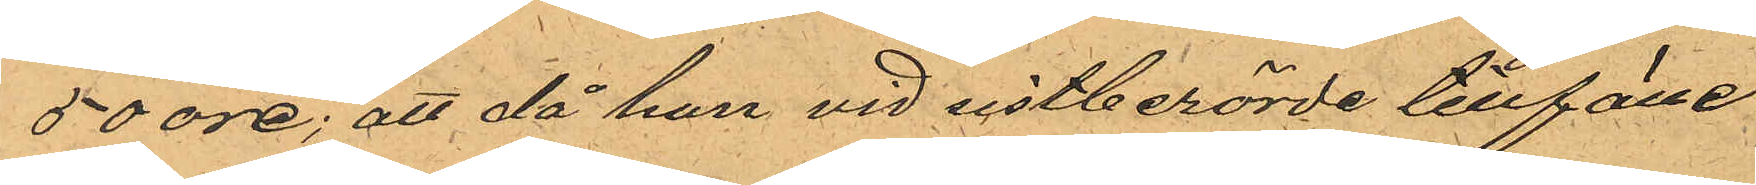50 öre; att då han vid sistberörde tillfälle
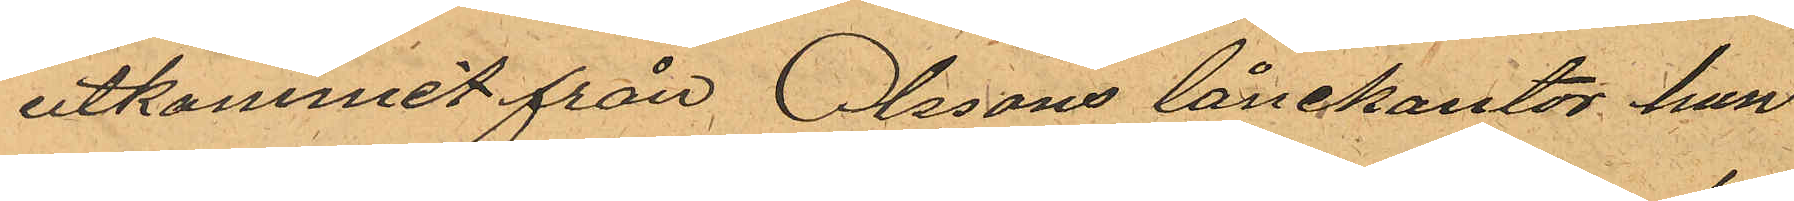utkommit från Olssons lånekontor han
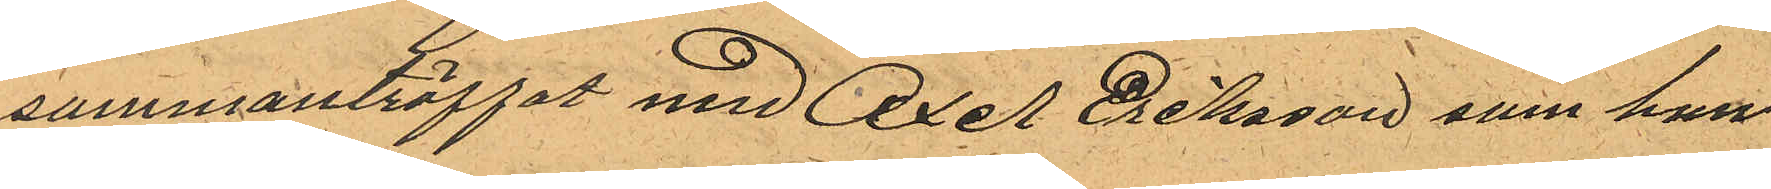sammanträffat med Axel Eriksson som han
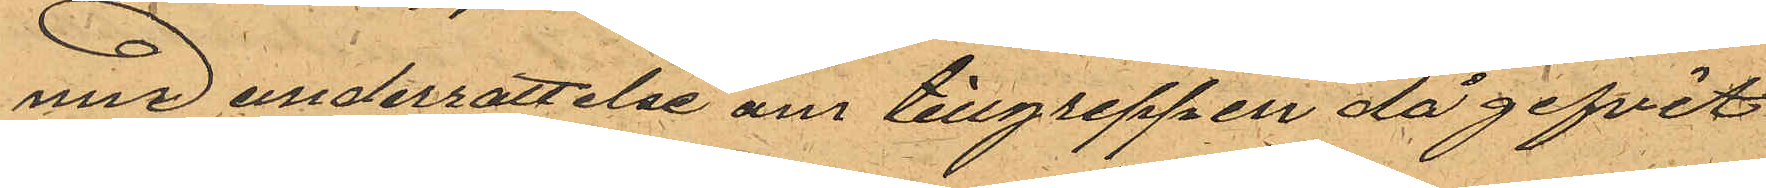med underrattelse om tillgreppen då gifvit
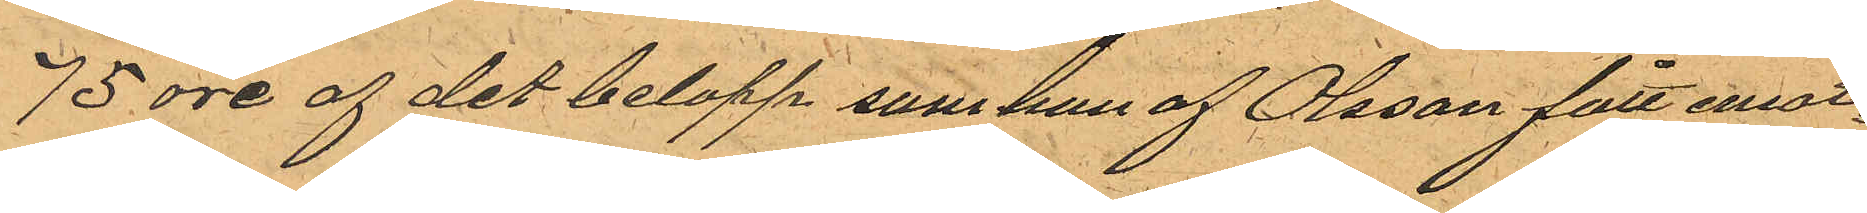75 öre af det belopp som han af Olsson fått emot¬
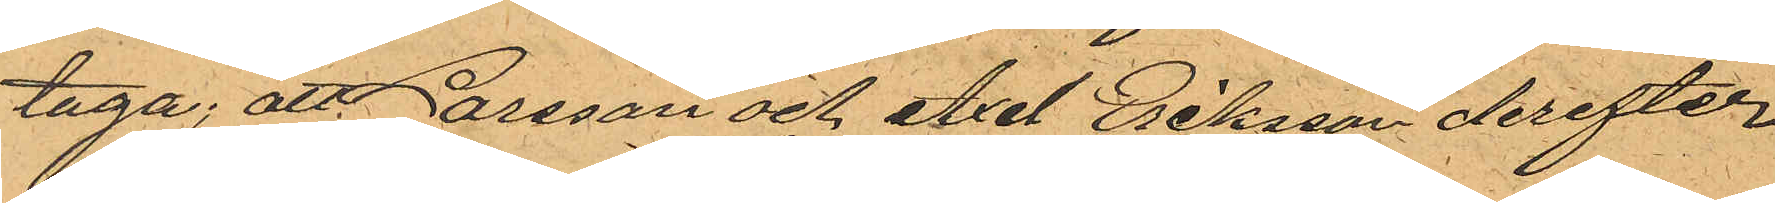taga; att Larsson och Axel Eriksson derefter
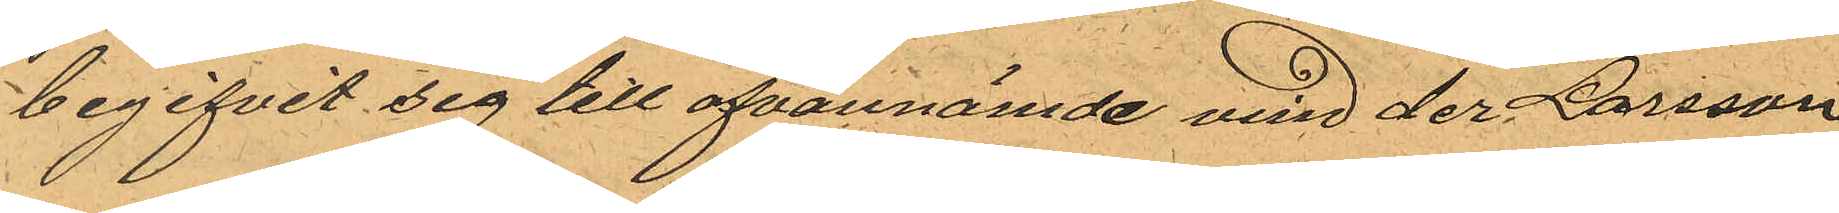begifvit sig till ofvannämde vind der Larsson
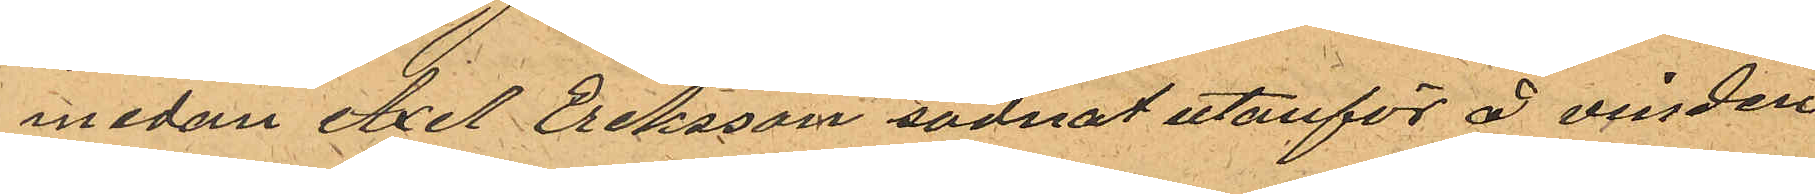medan Axel Eriksson sadnat utanför å vinden
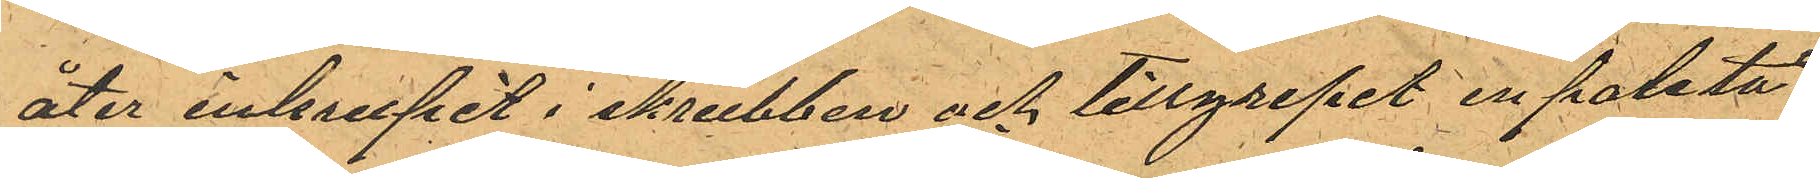åter inkrupit i skrubben och tillgripit en paletå
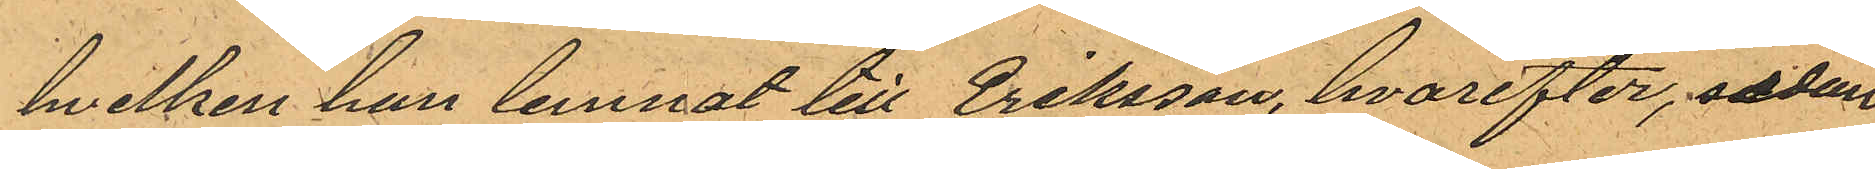hvilken han lemnat till Eriksson, hvarefter, sedan
